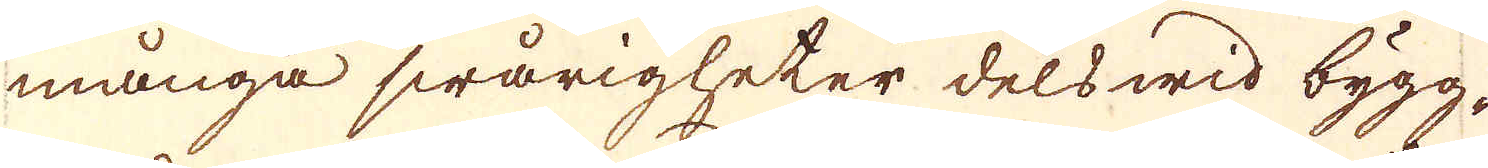många swårigheter dels wid bygg-
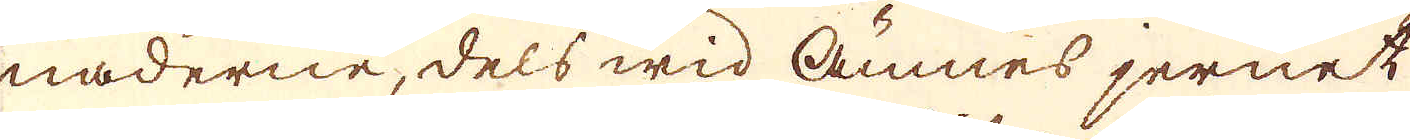naderne, dels wid Ämnes jernet
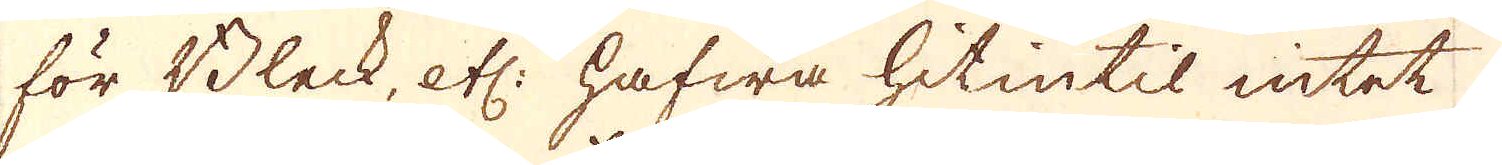för Bleck, etc: hafwa hitintil intet
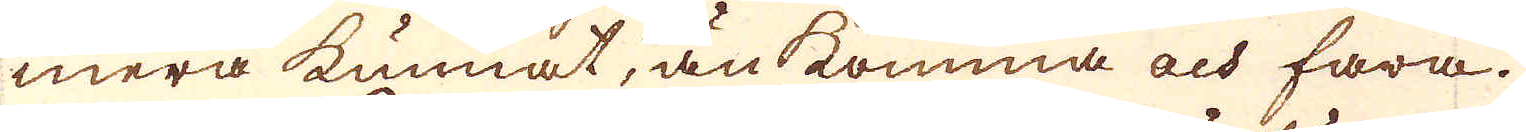mera kunnat, än komma och fara.
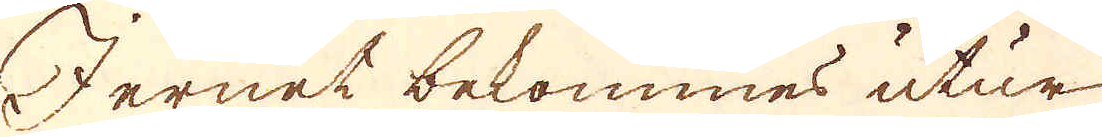Jernet bekommes utur
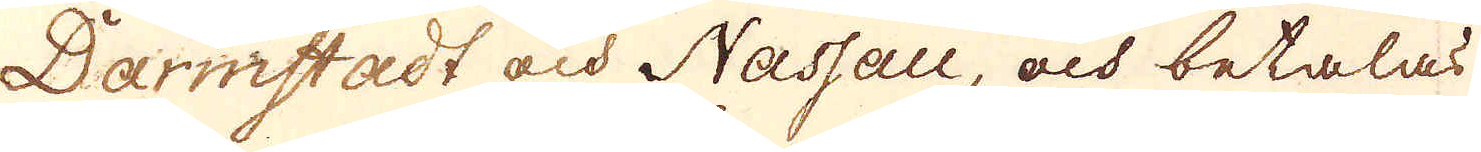Darmstadt och Nassau, och betalas
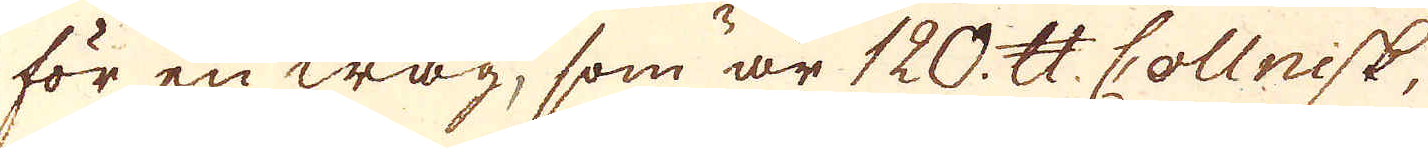för en wag, som är 120. skålpund Collnisk,
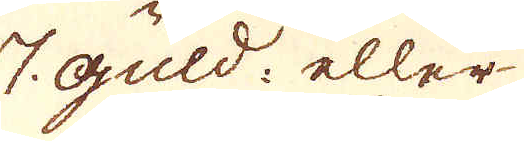7 guld eller
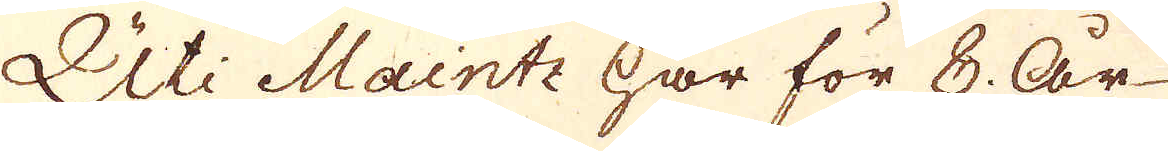Uti Maintz har för 8 År
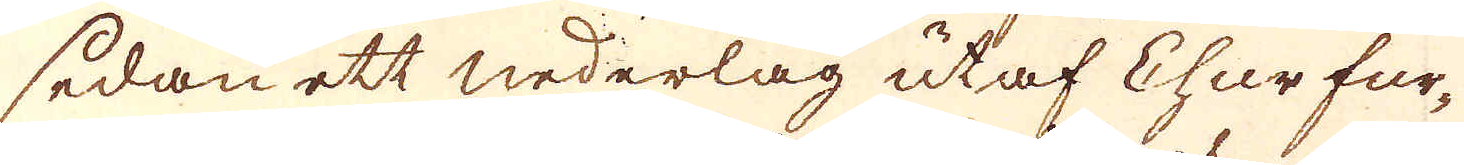sedan ett nederlag utaf Chur fur-
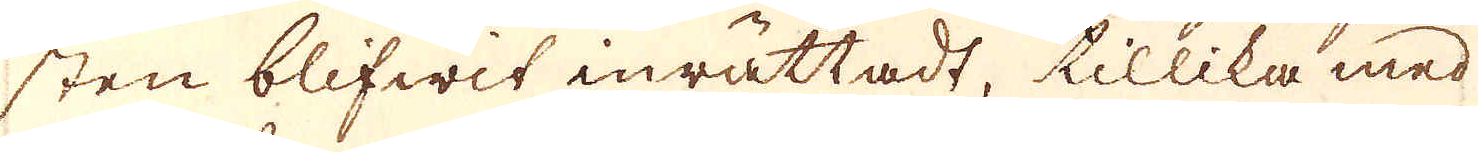sten blifwit inrättadt, tillika med
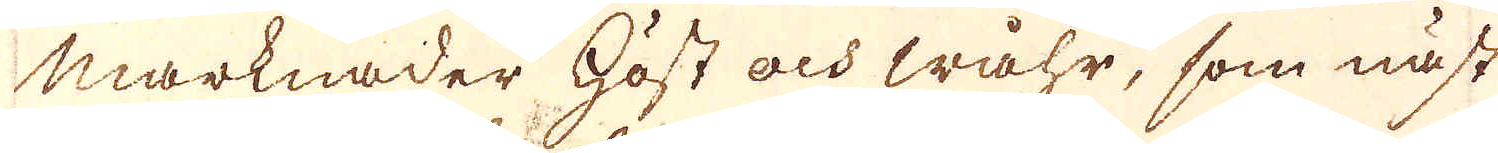marknader Höst och wåhr, som näst
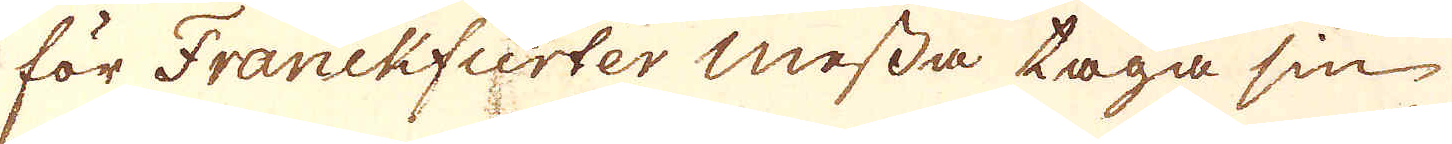för Franckfurter messa taga sin
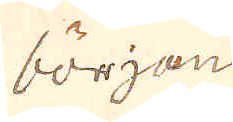början
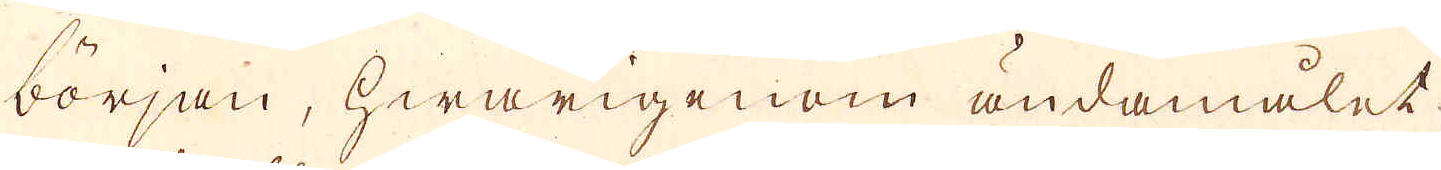början, hwarigenom ändamålet
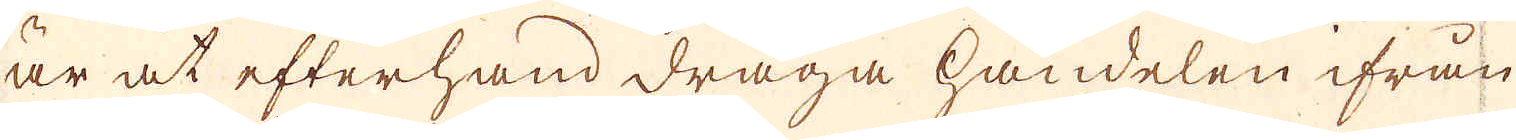är at efterhand draga handelen ifrån
